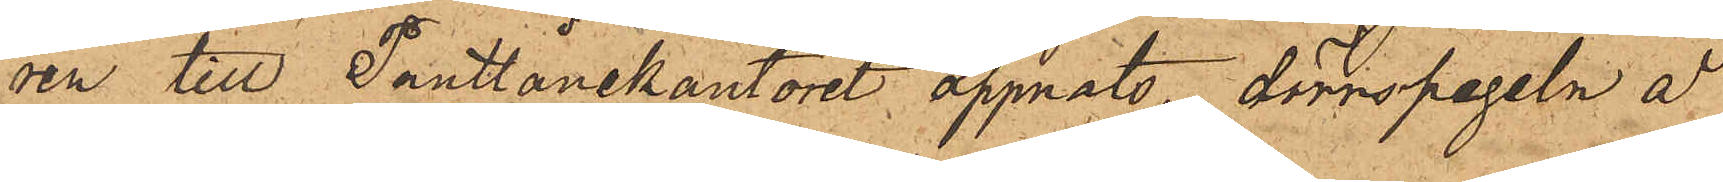ren till Pantlånekontoret öppnats, dörrspegeln å
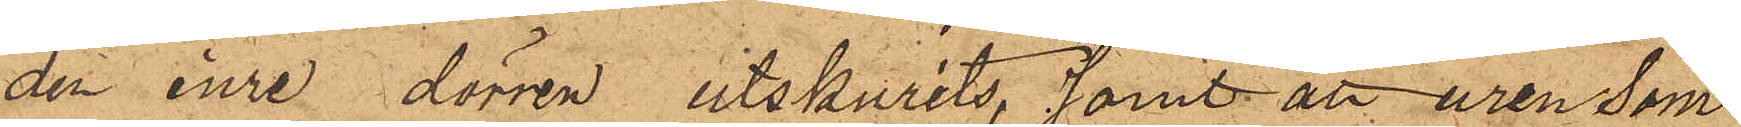den inre dörren utskurits, samt att uren som
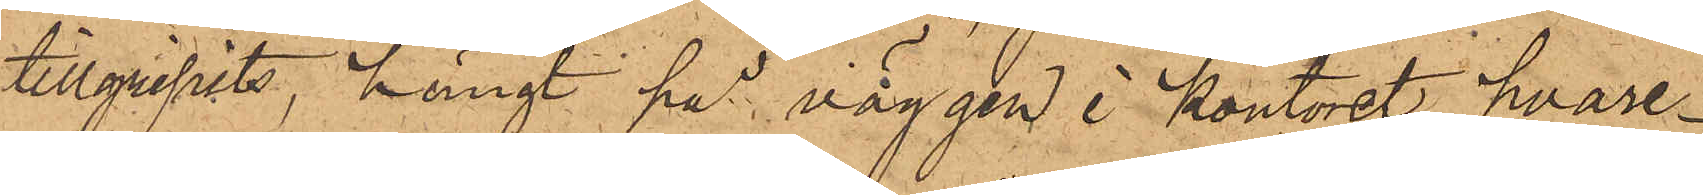tillgripits, hängt på väggen i kontoret, hvare¬
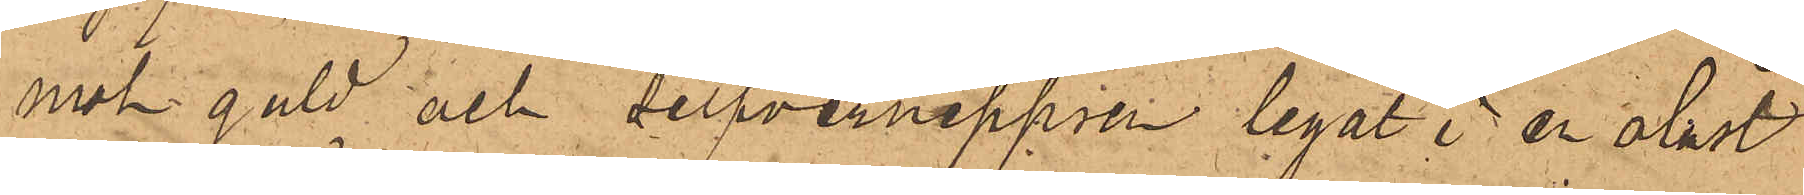mot guld och silfvernippren legat i en olåst
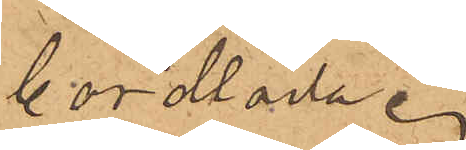bordlåda.
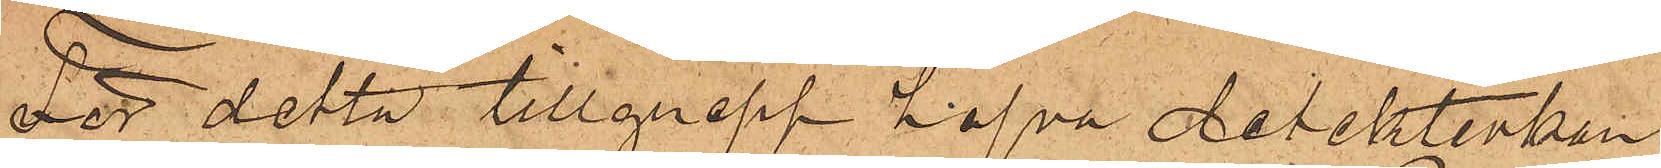För detta tillgrepp hafva detektivkon¬
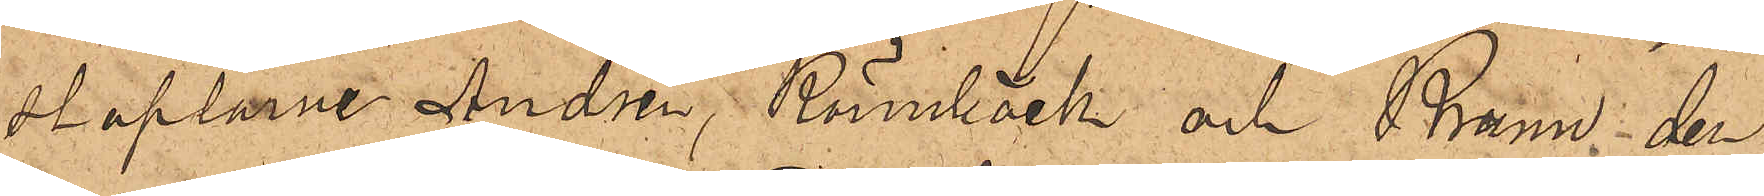staplarne Andrèn, Rönnbäck och Bruun den
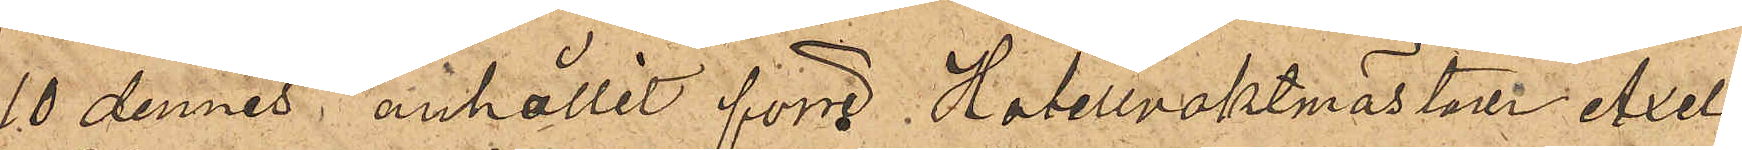10 dennes anhållit förre Hotellvaktmästaren Axel
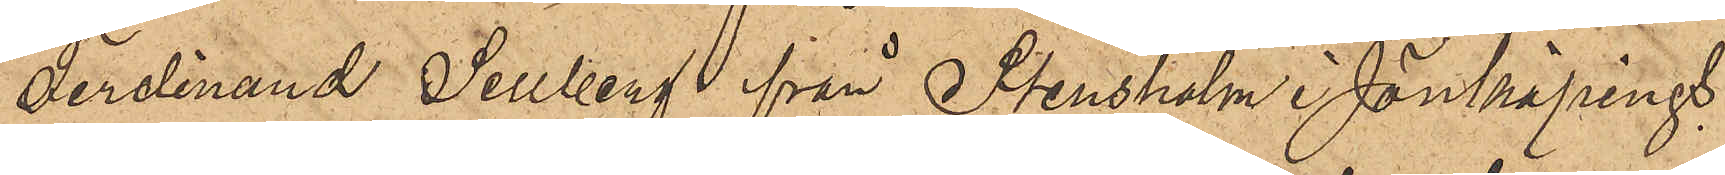Ferdinand Sellberg från Stensholm i Jönköpings
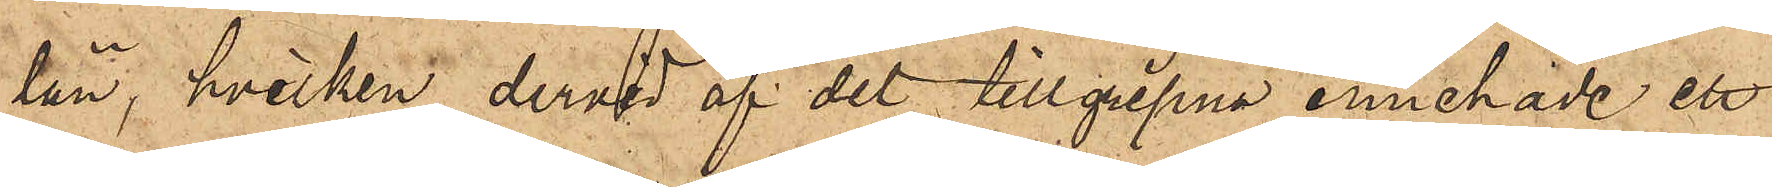län, hvilken dervid af det tillgripna innehade ett
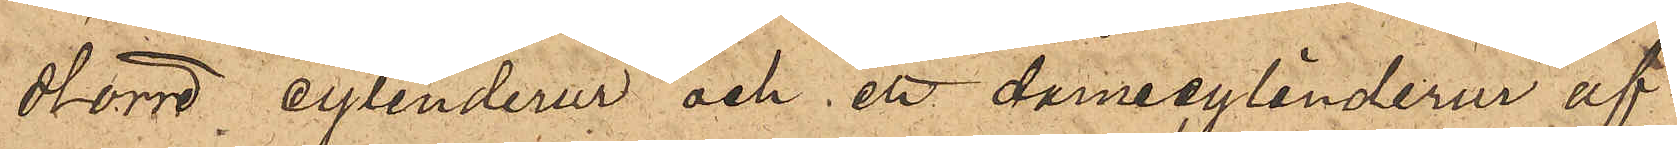större cylinderur och en damecylinderur af
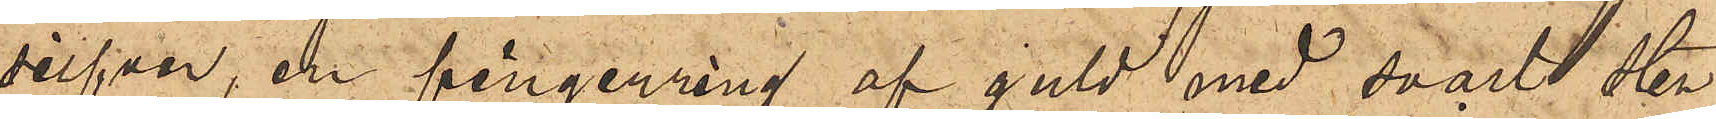silfver, en fingerring af guld med svart sten
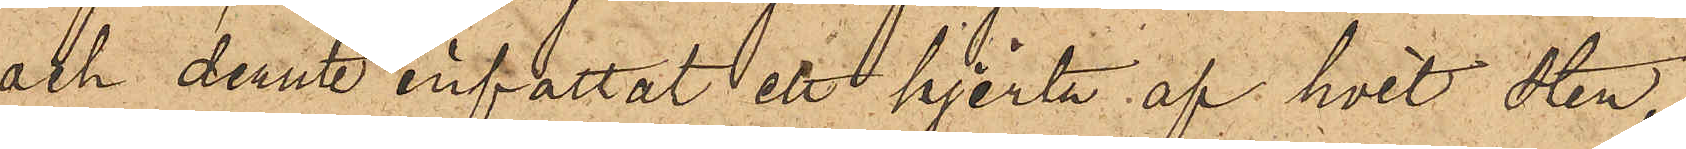och deruti infattat ett hjerta af hvit sten,
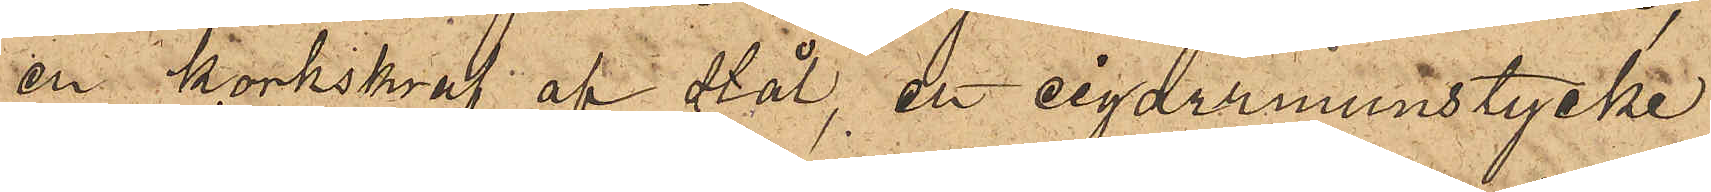en korkskruf af stål, ett cigarrmunstycke
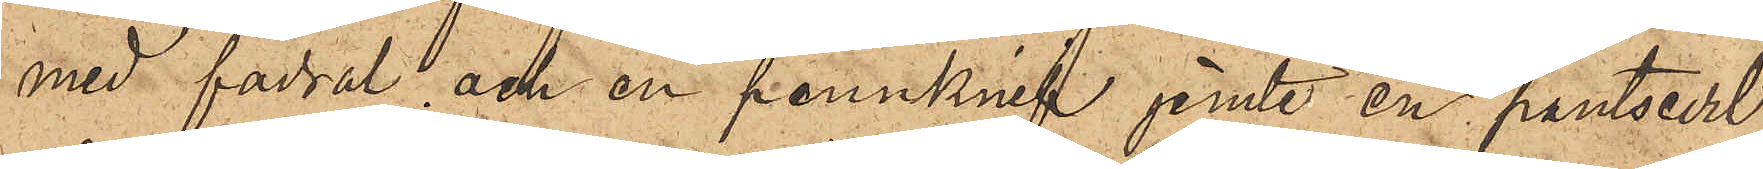med fodral och en pennknif jemte en pantsedel
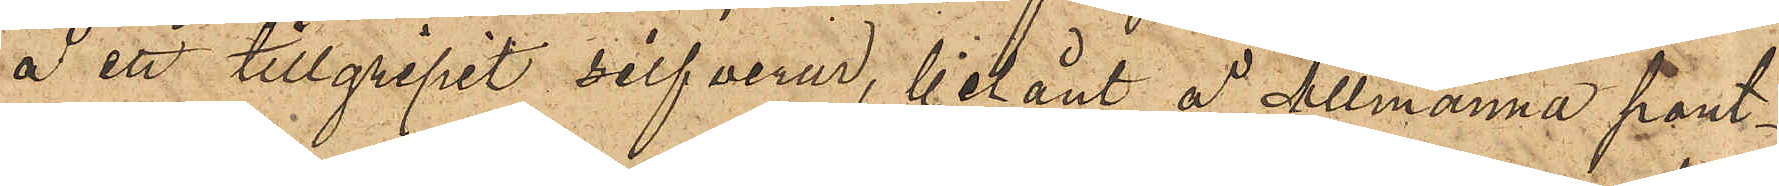å ett tillgripit silfverur, belånt å Allmänna pant¬
